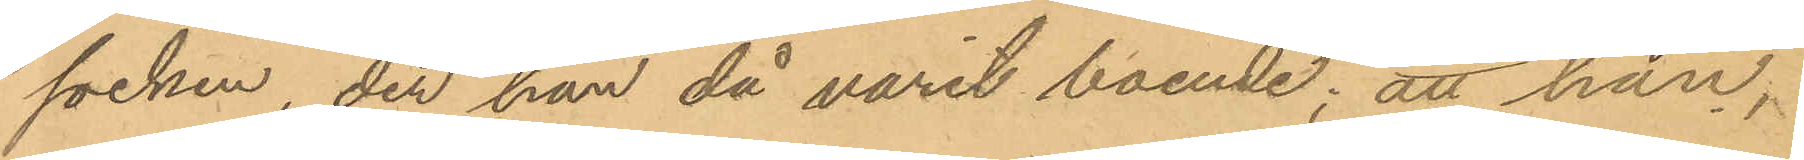socken, der han då varit boende; att han,
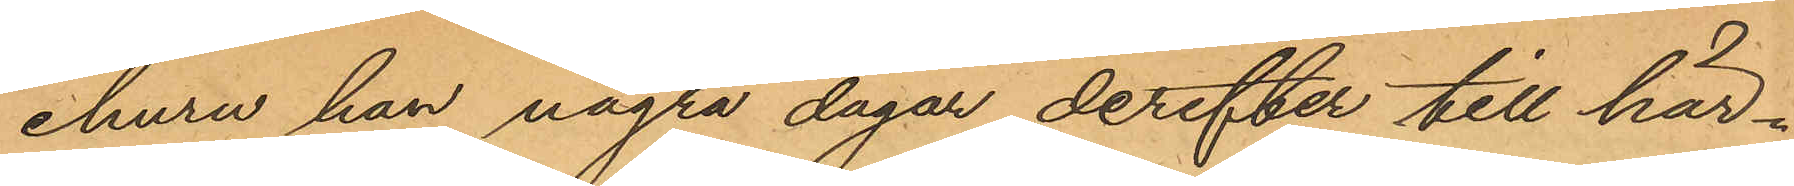ehuru han några dagar derefter till här¬
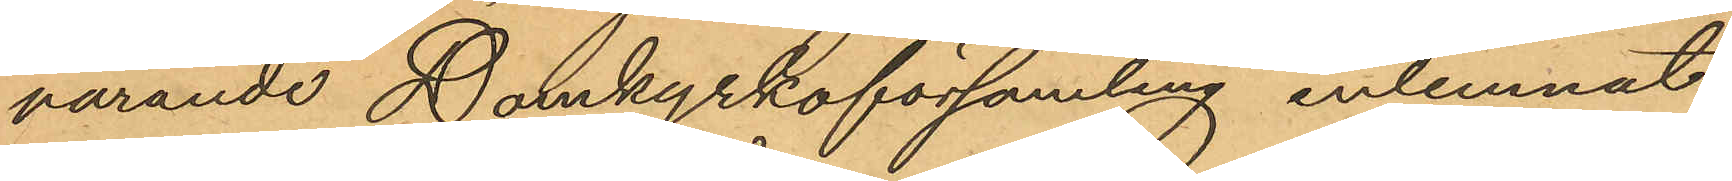varande Domkyrkoförsamling inlemnat
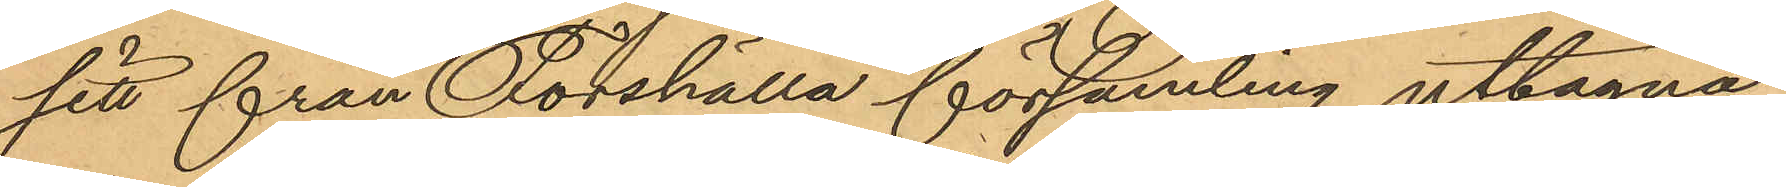sitt från Forshälla församling uttagna
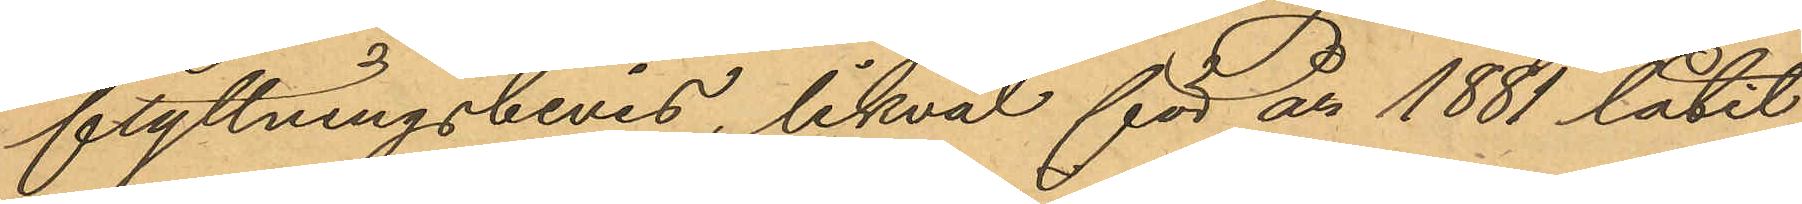flyttningsbevis, likväl för år 1881 låtit
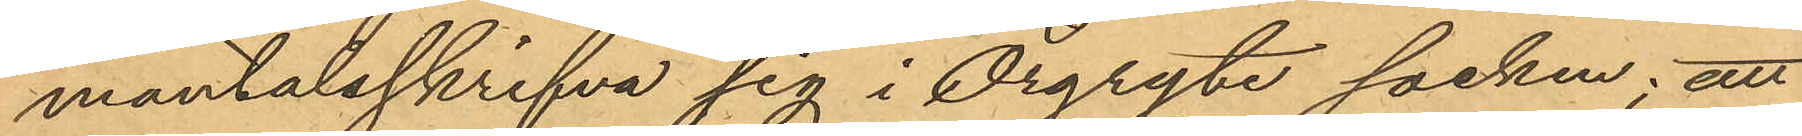mantalsskrifva sig i Örgryte socken; att
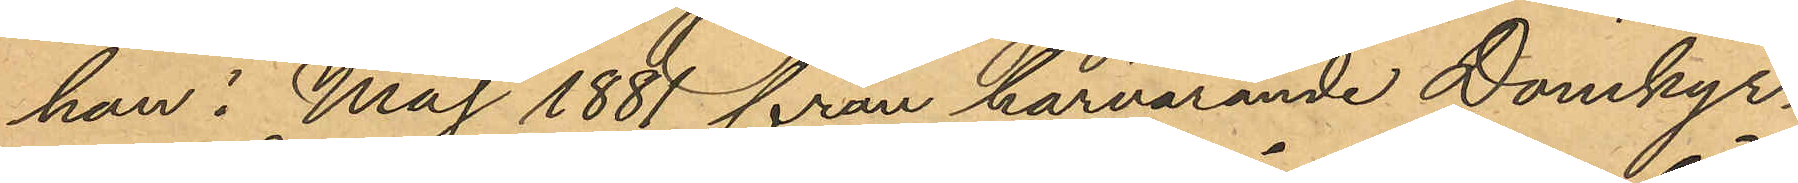han i Maj 1881 från härvarande Domkyr¬
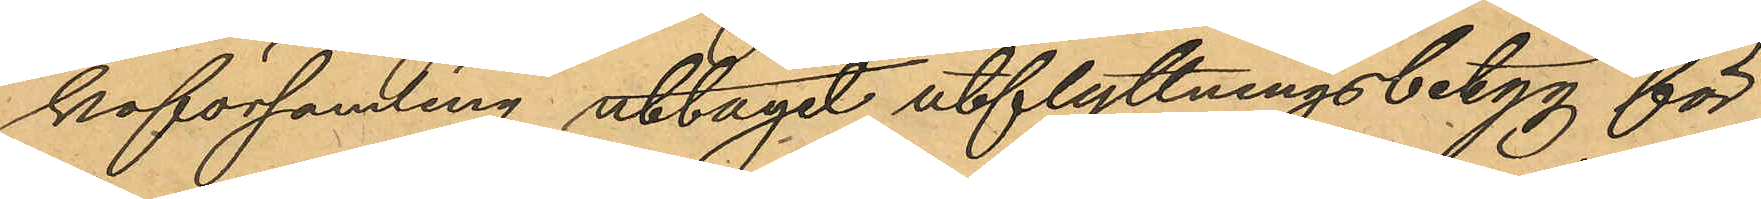koförsamling uttagit utflyttningsbetyg för
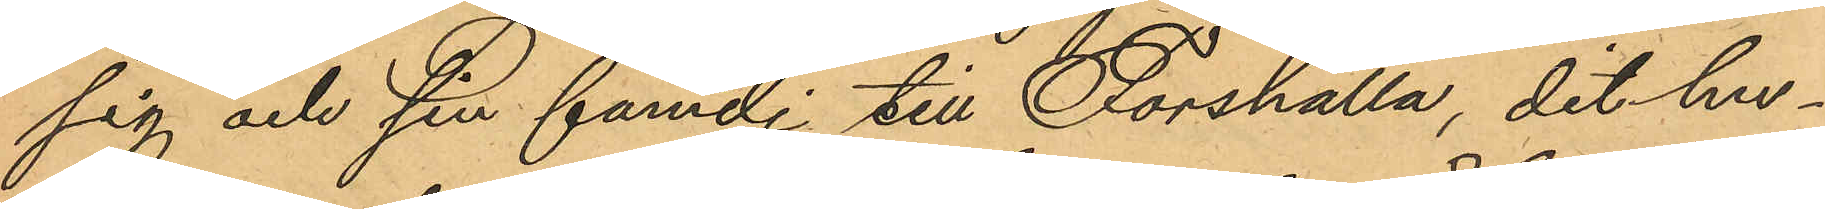sig och sin familj till Forshälla, dit hu¬
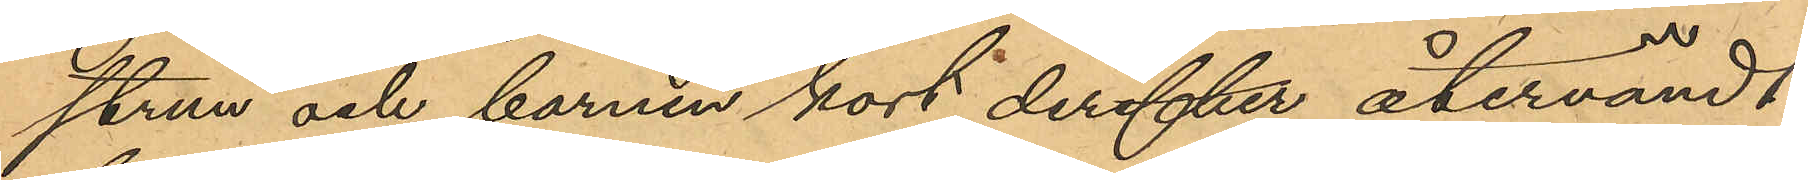strun och barnen kort derefter återvändt,
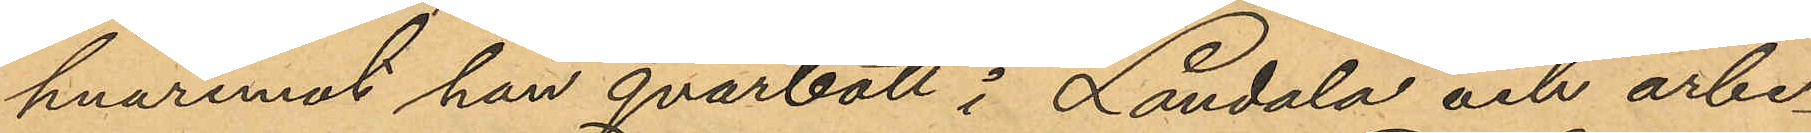hvaremot han qvarbott i Landala och arbe¬
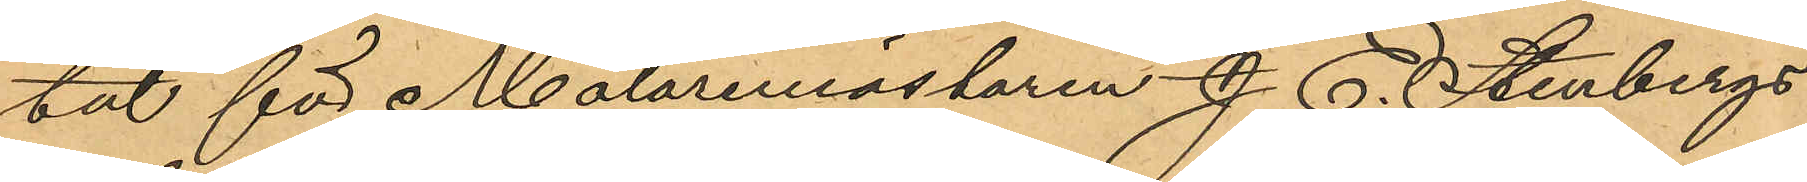tat för Målaremästaren J. E. Stenbergs
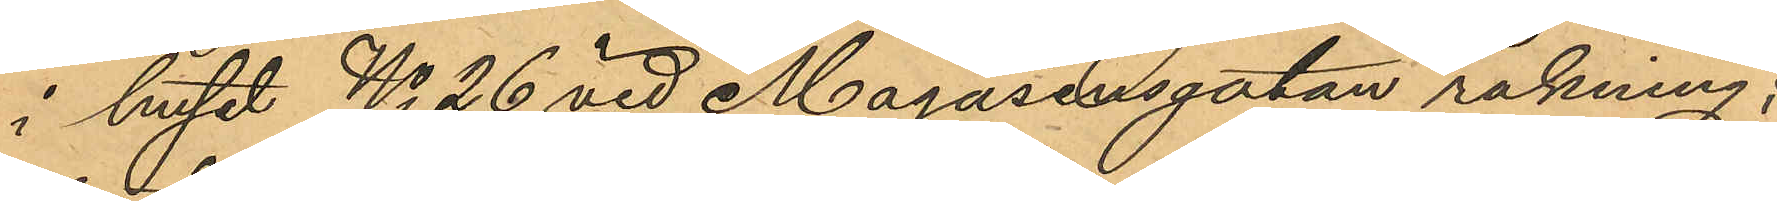i huset No 26 vid Magasinsgatan räkning;
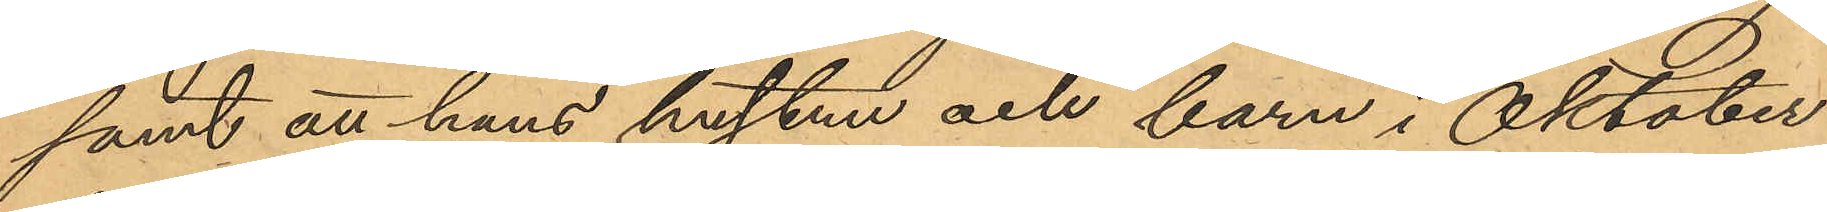samt att hans hustru och barn i Oktober
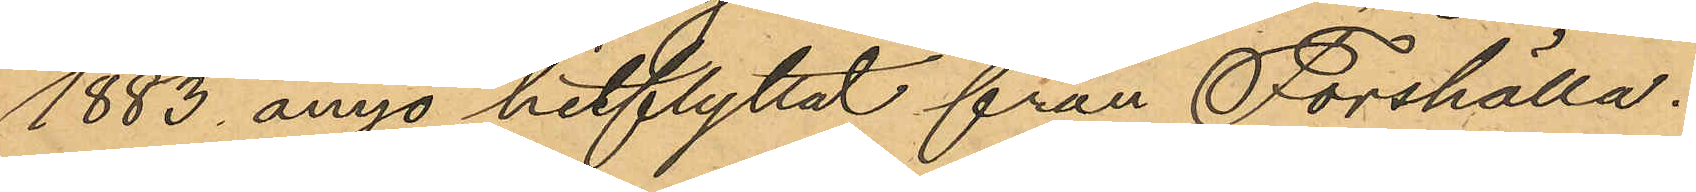1883 ånyo hitflyttat från Forshälla.
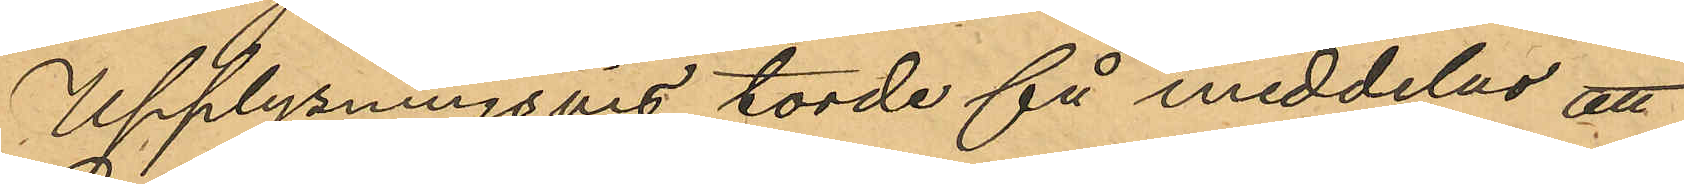Upplysningsvis torde så meddelas att
